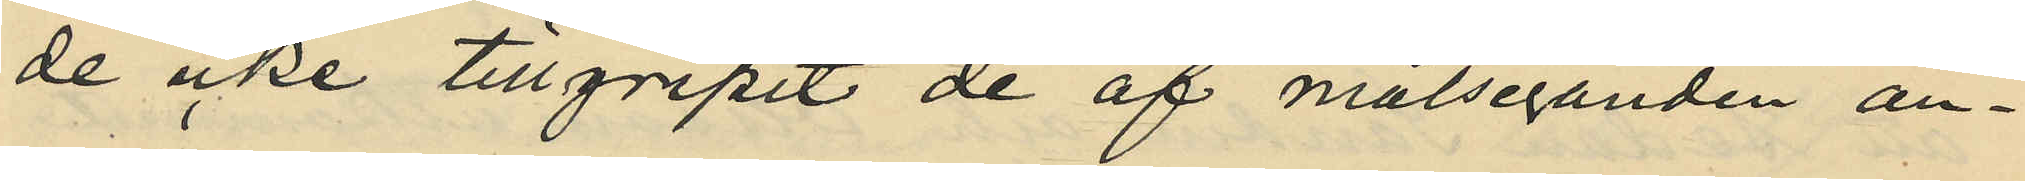de icke tillgripit de af målseganden an¬
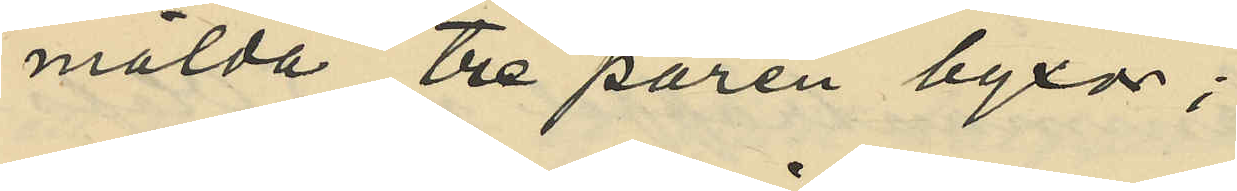mälda Tre paren byxor;
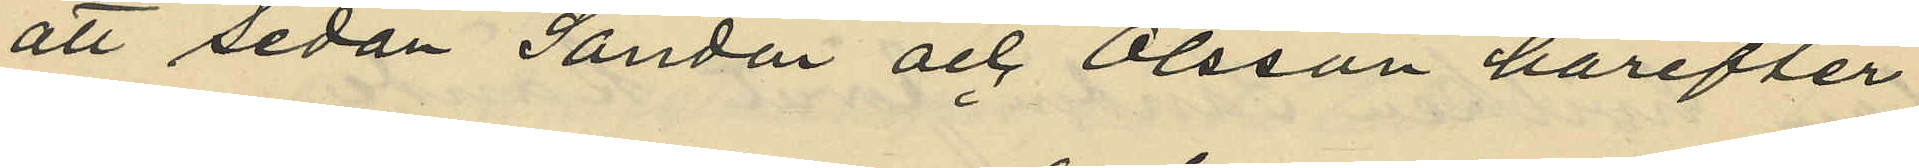att sedan Sandin och Olsson härefter
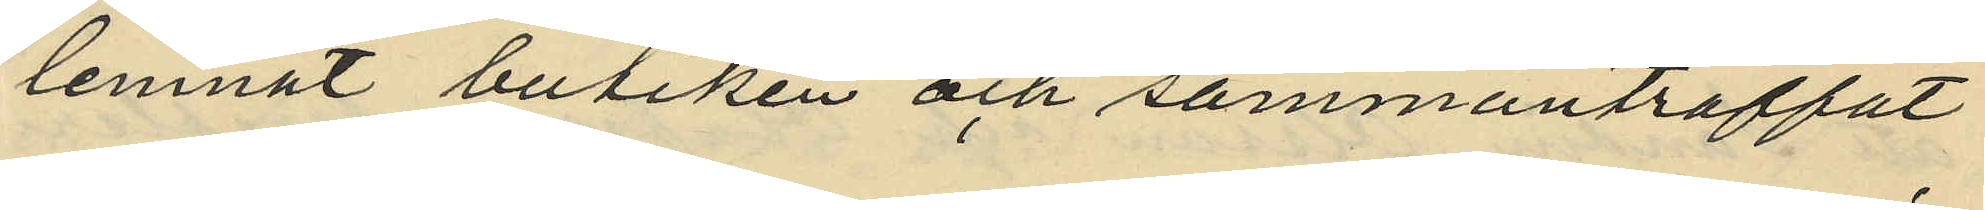lemnat butiken och sammanträffat
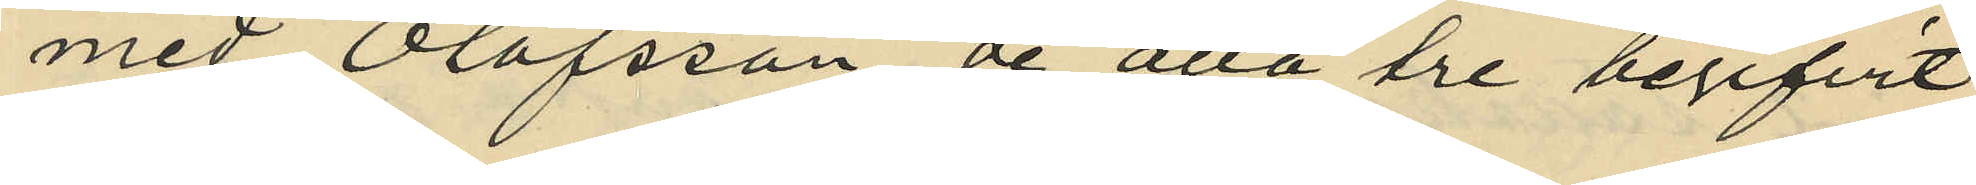med Olofsson de alla tre begifvit
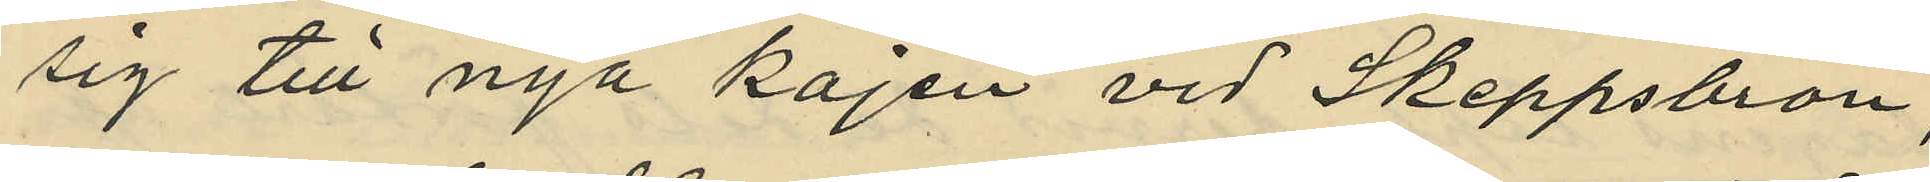sig till nya kajen vid Skeppsbron,
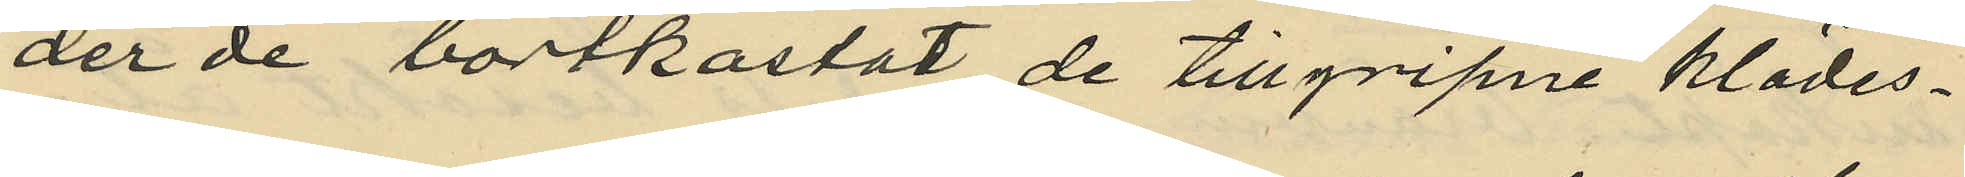der de bortkastat de tillgripne klädes¬
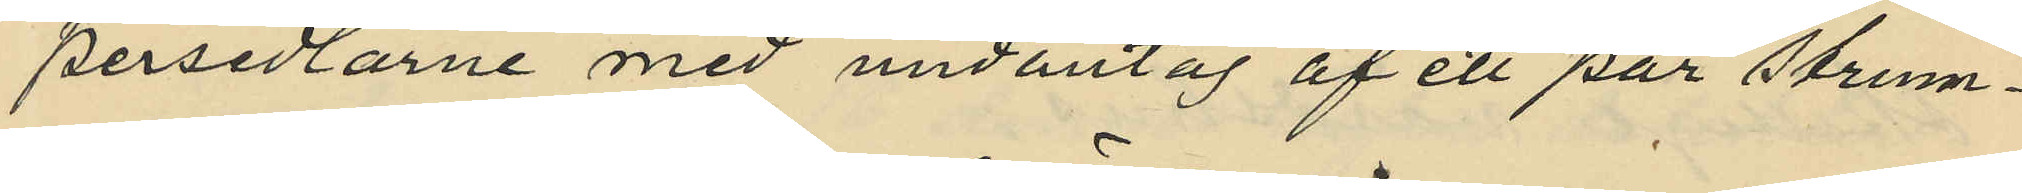persedlarne med undantag af ett par strum¬
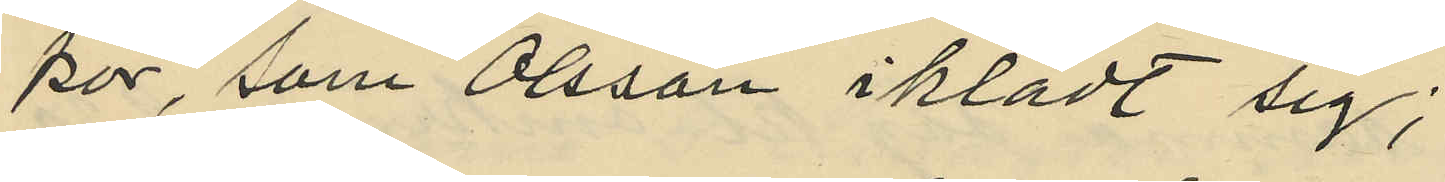por, som Olsson iklädt sig;
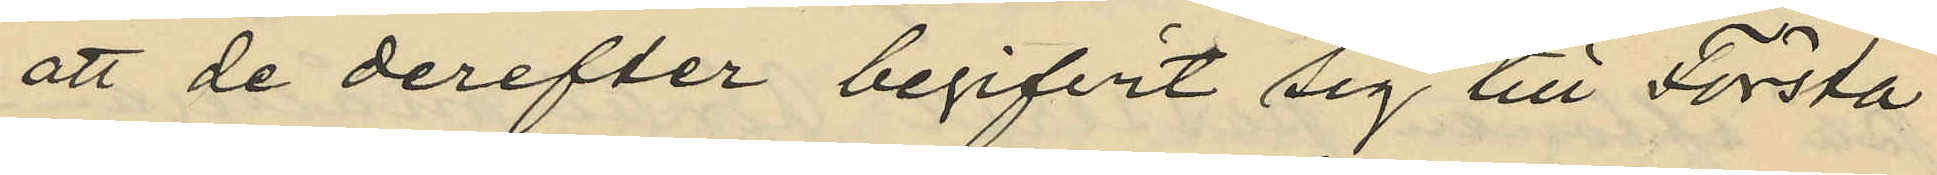att de derefter begifvit sig till Första
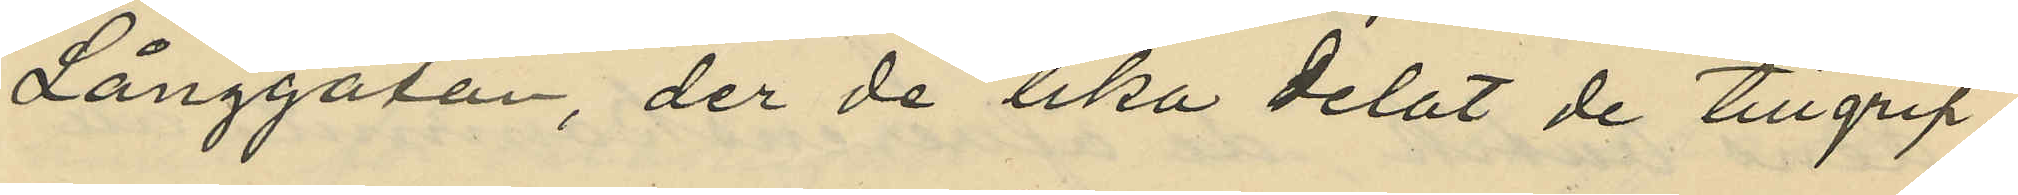Långgatan, der de lika delat de tillgrip¬
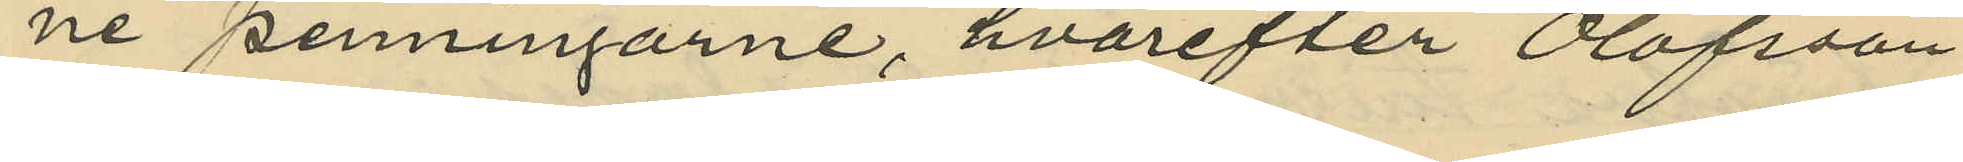ne penningarne hvarefter Olofsson
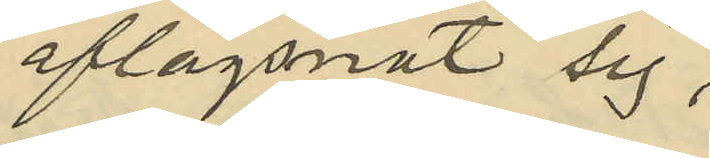aflägsnat sig;
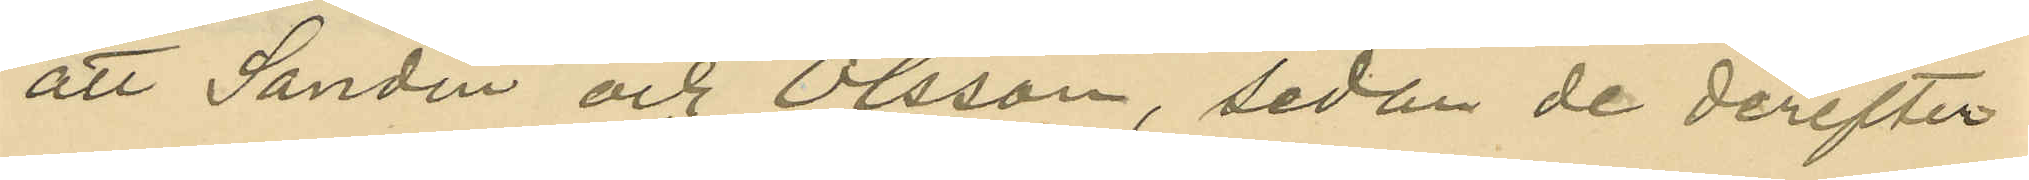att Sandin och Olsson, sedan de derefter
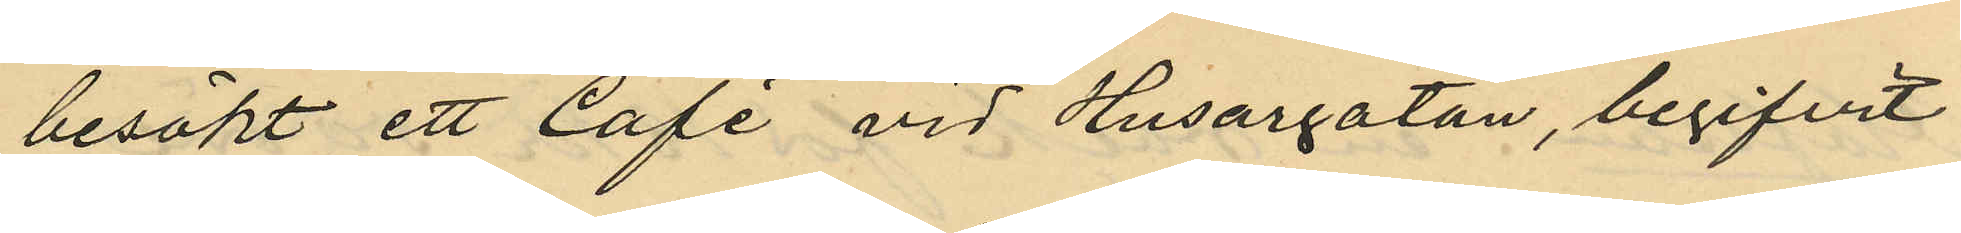besökt ett Café vid Husargatan, begifvit
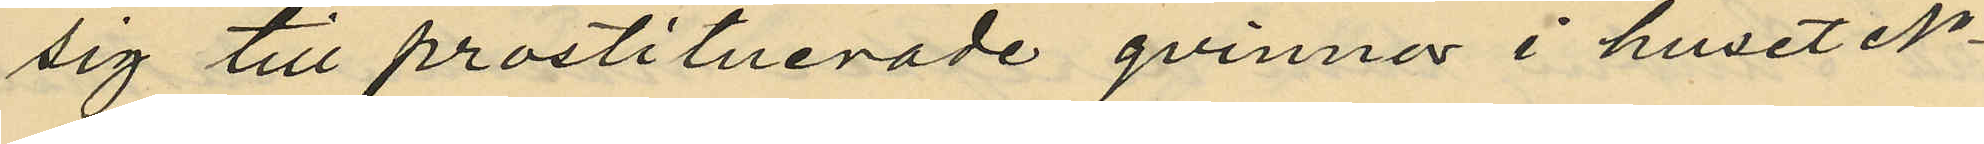sig till prostituerade qvinnor i huset No
